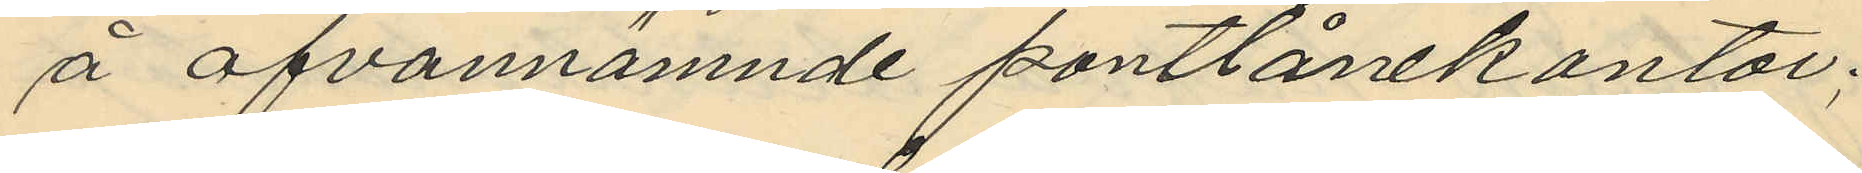å ofvannämnde pantlånekontor;
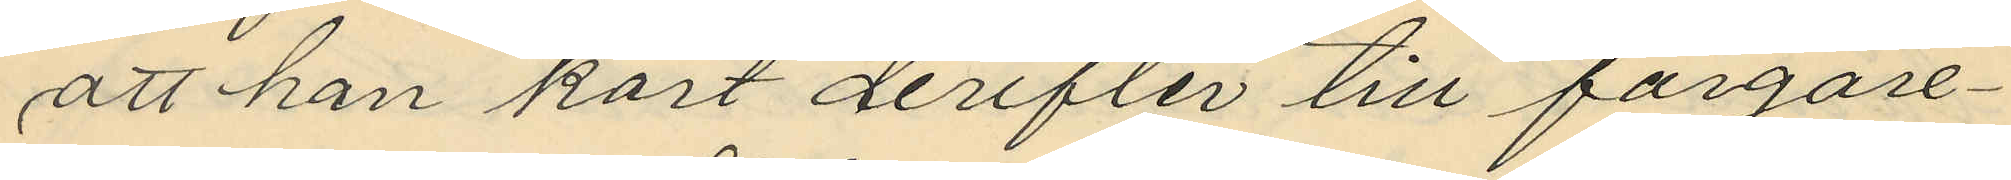att han kort derefter till färgare¬
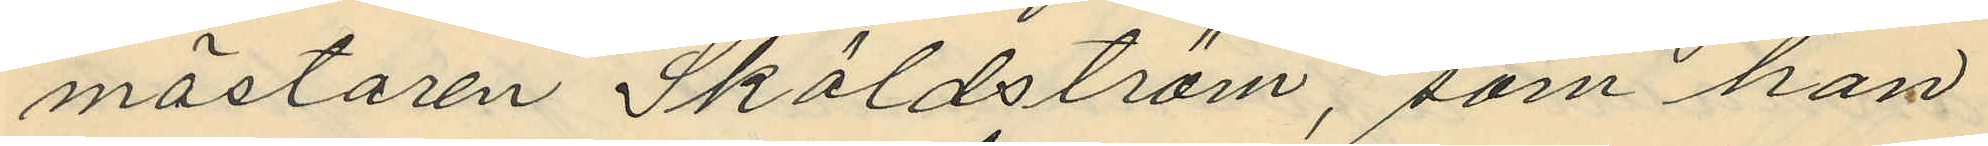mästaren Sköldström, som han
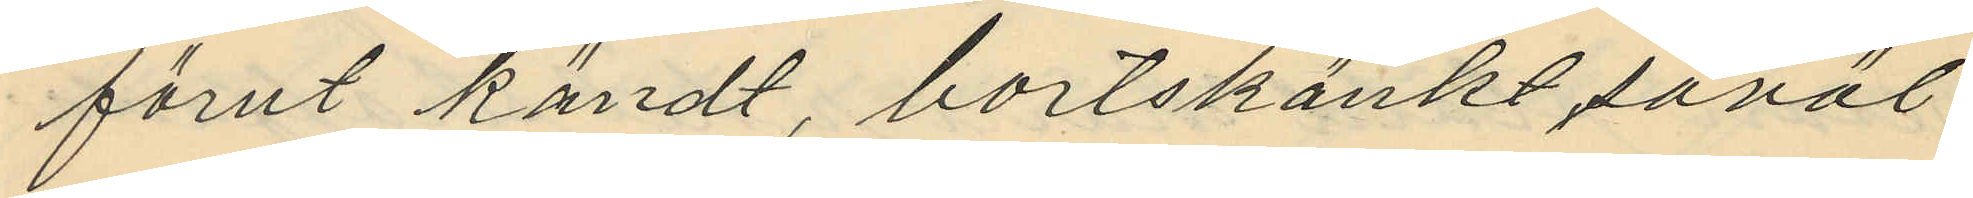förut kändt, bortskänkt såväl
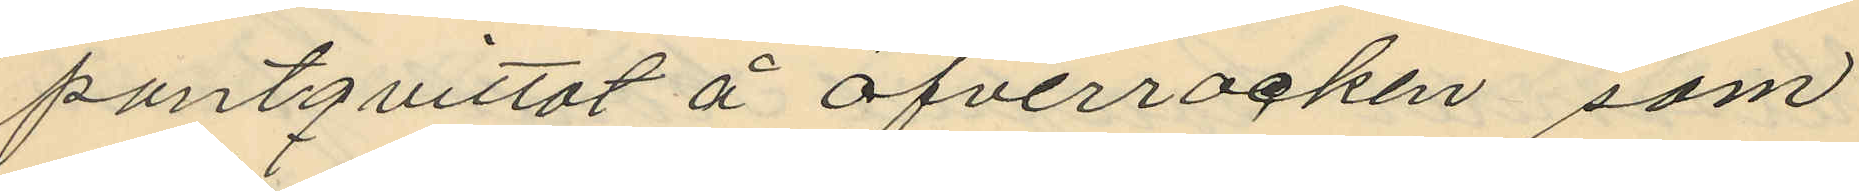pantqvittot å öfverrocken, som
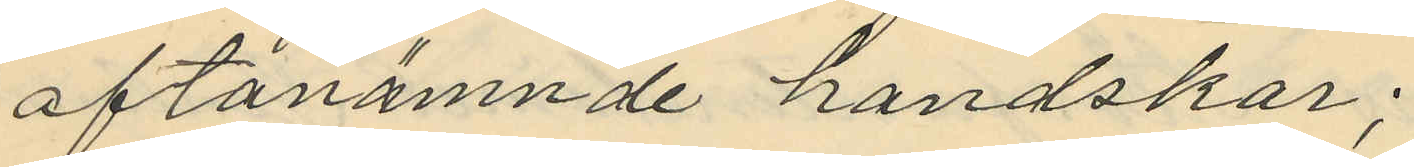oftanämnde handskar;
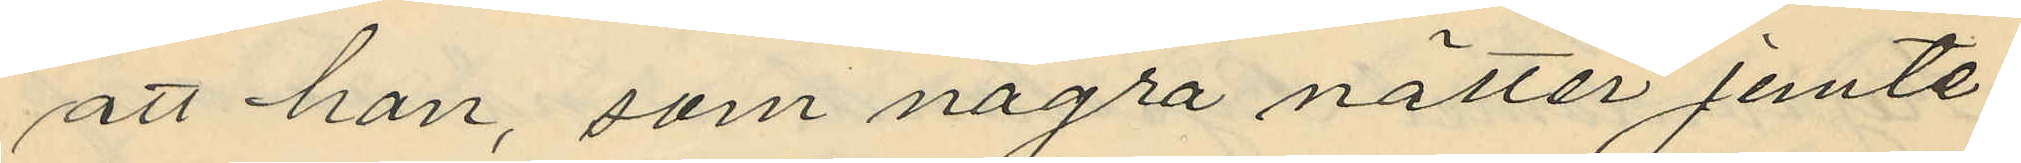att han, som några nätter jemte
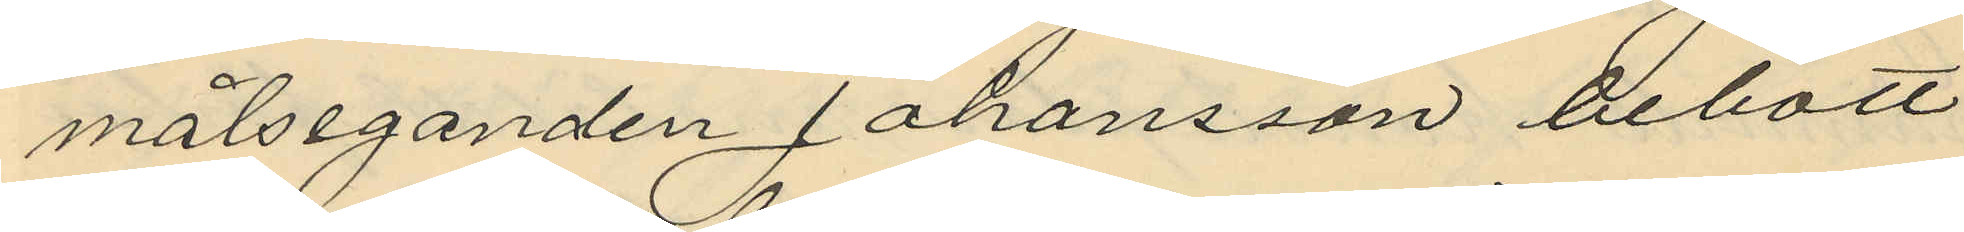målseganden Johansson bebott
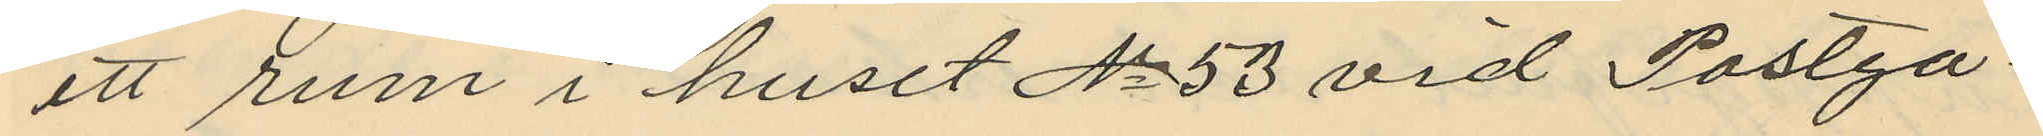ett rum i huset No 53 vid Postga¬
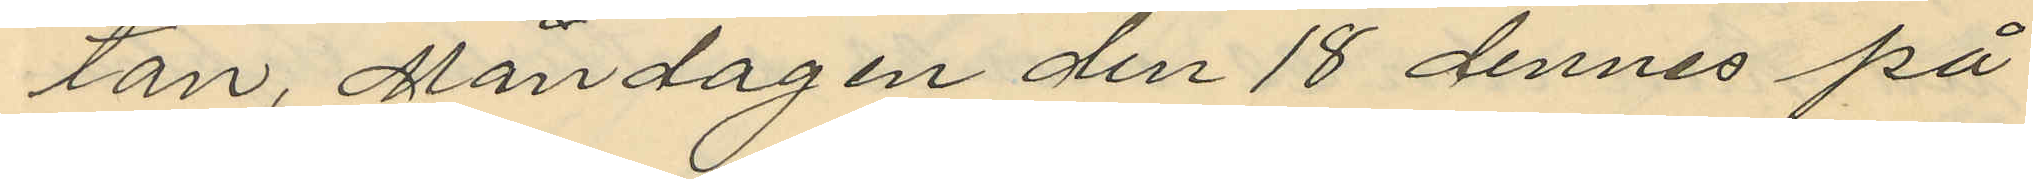tan, Måndagen den 18 dennes på
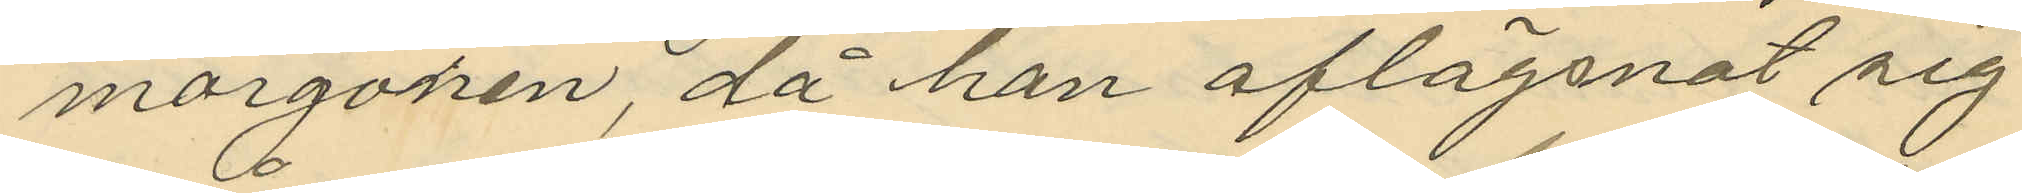morgonen, då han aflägsnat sig
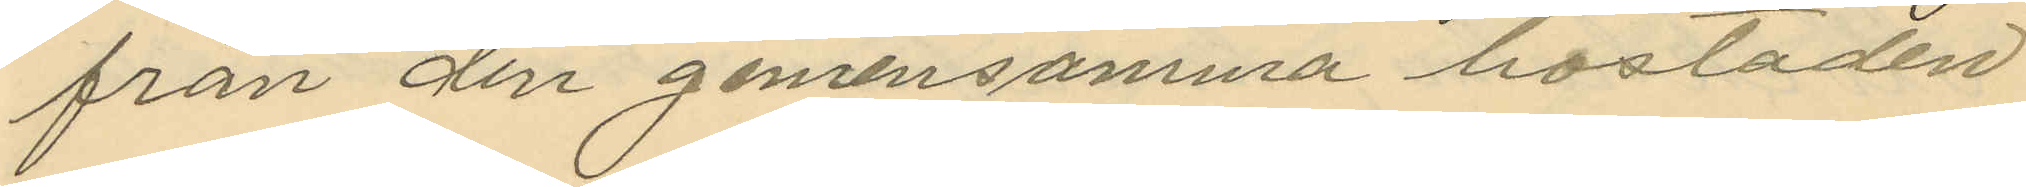från den gemensamma bostaden
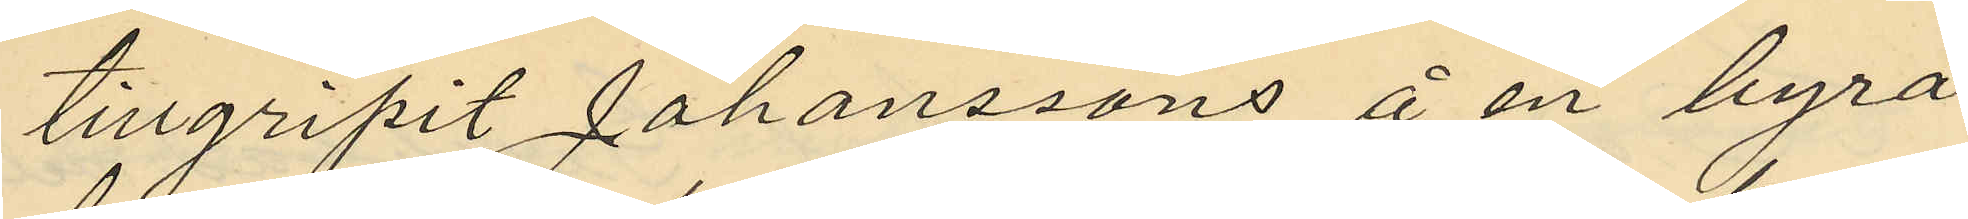tillgripit Johanssons å en byrå
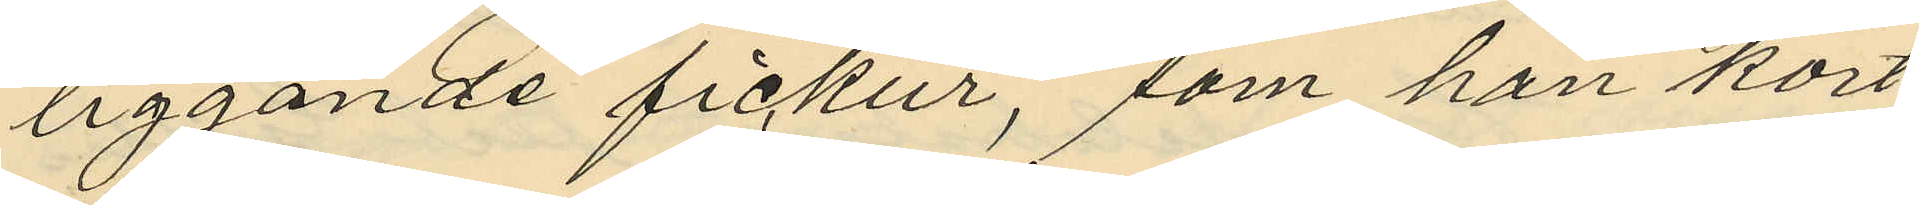liggande fickur, som han kort
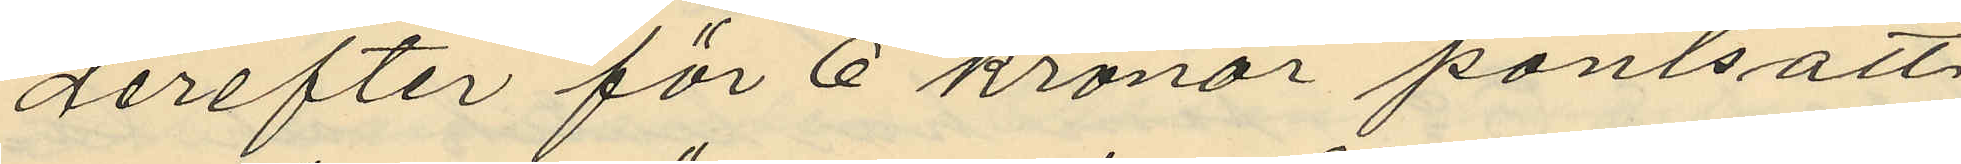gerefter för 6 kronor pantsatt
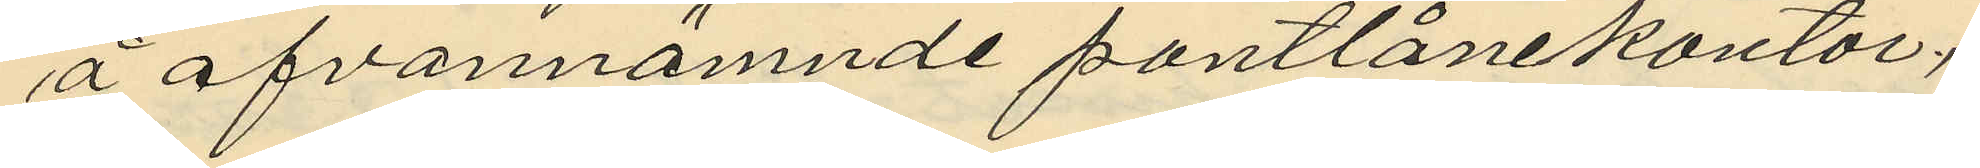å ofvannämnde pantlånekontor;
